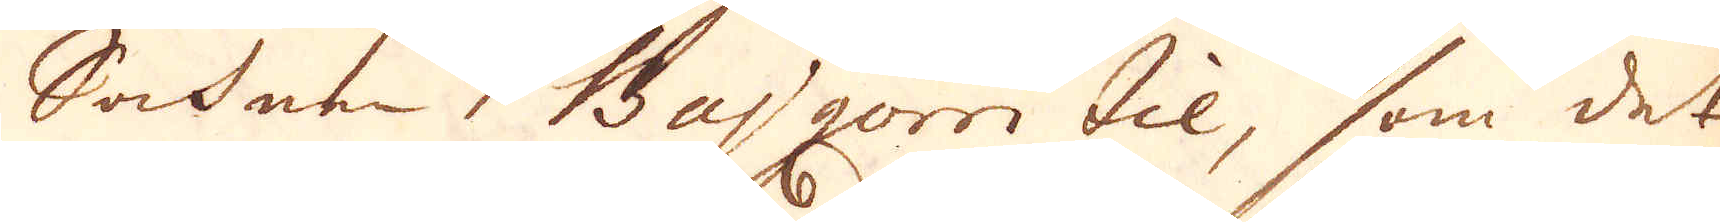Sochnen Bajgorri til, som det
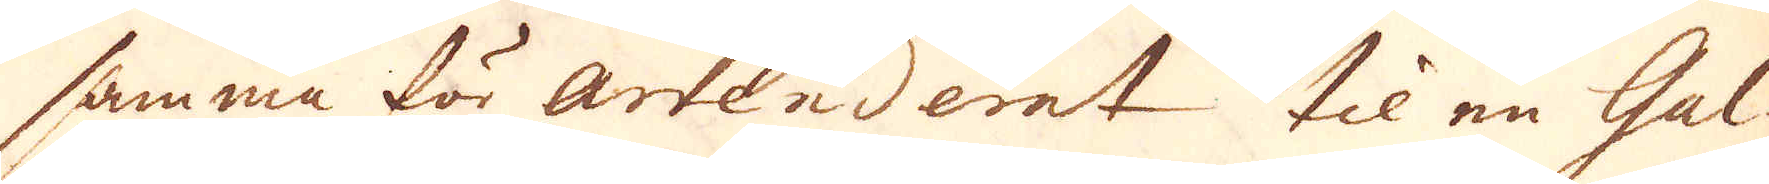samma för arrenderat til en Gal-
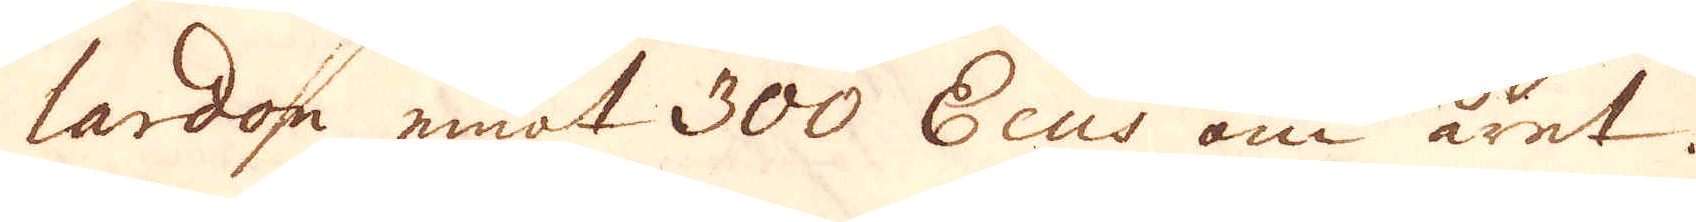lardon emot 300 Ecus om året.
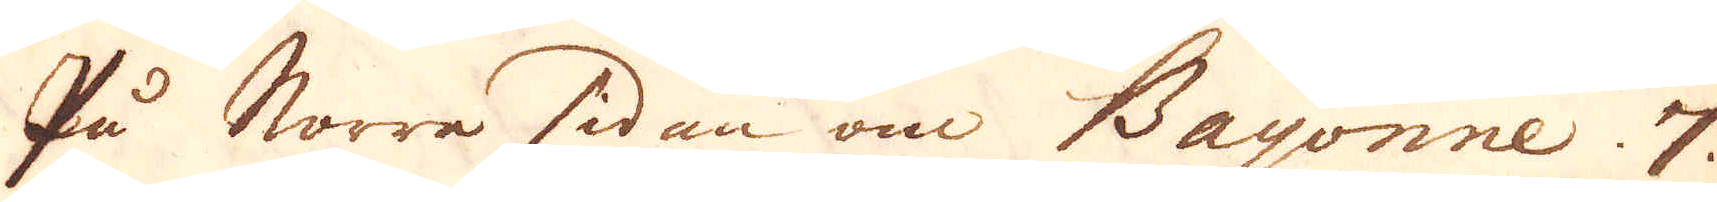På Norra sidan om Bayonne 7
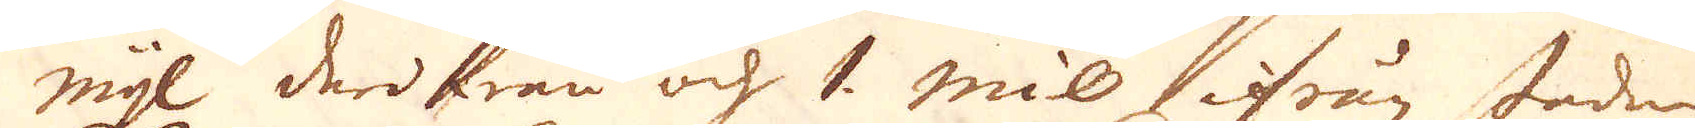mijl derifrån och 1 mil ifrån staden
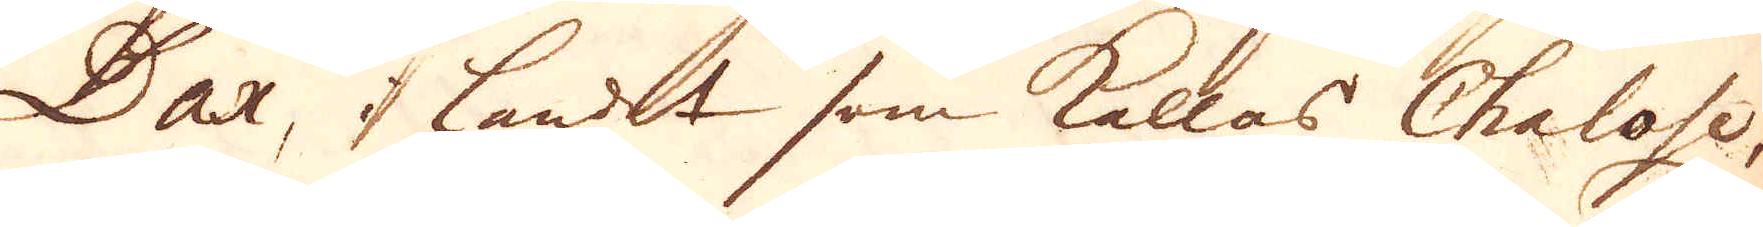Dax, I landet som kallas Chalose,
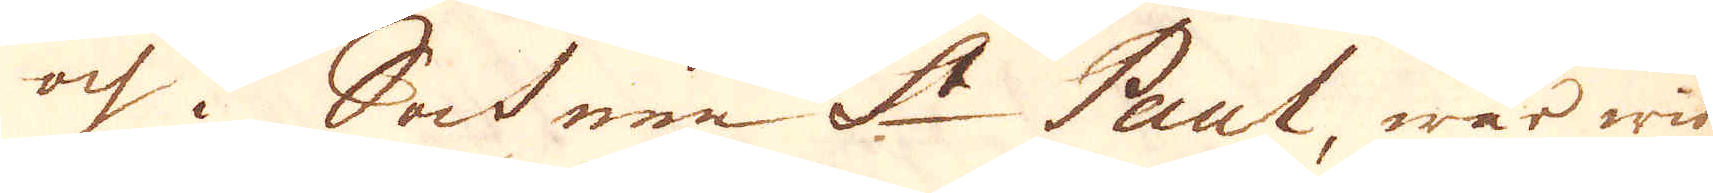och i Sochnen St Paul, war wid
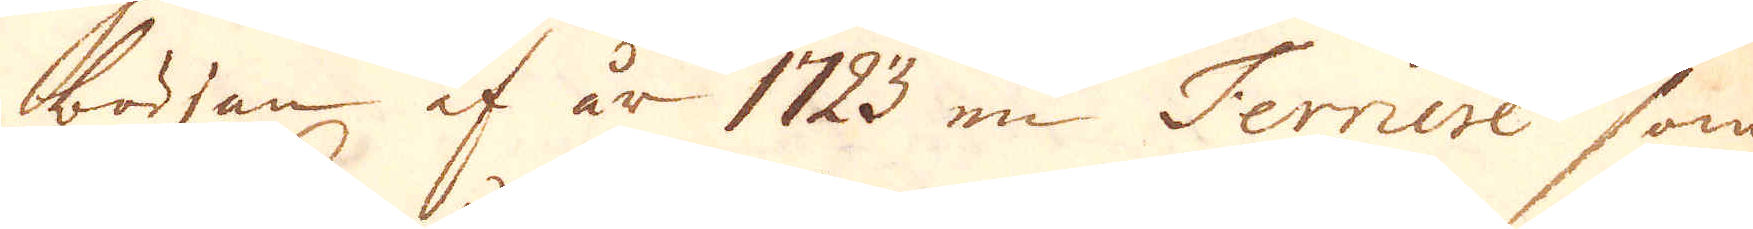början af år 1723 en Ferniere som
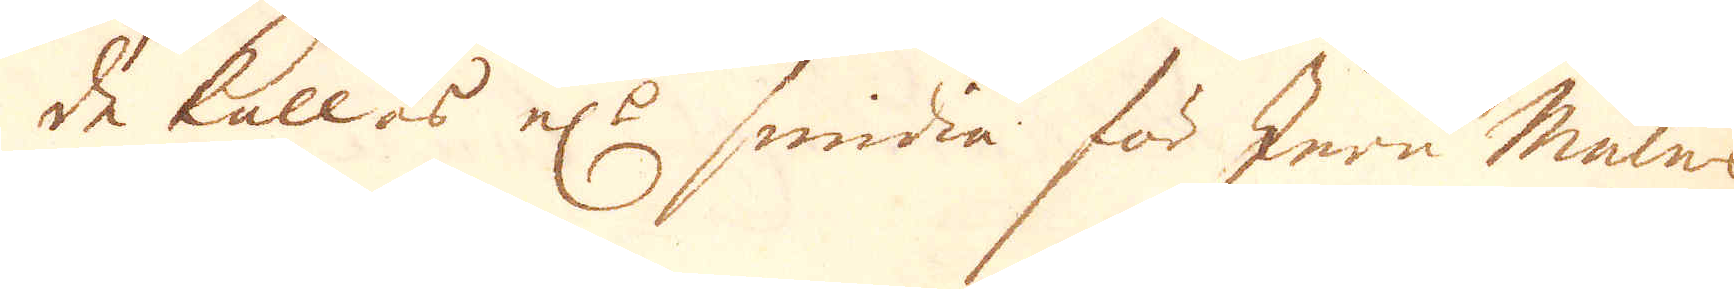de kallas el:r smidia för Jern Malms
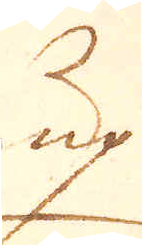up
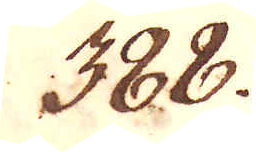388.
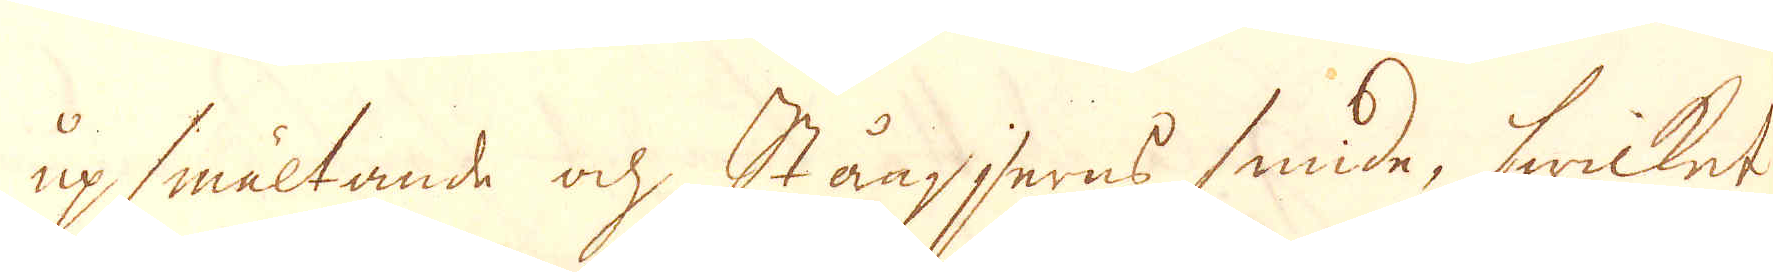up smältande och, Stångjerns smide, hwilket
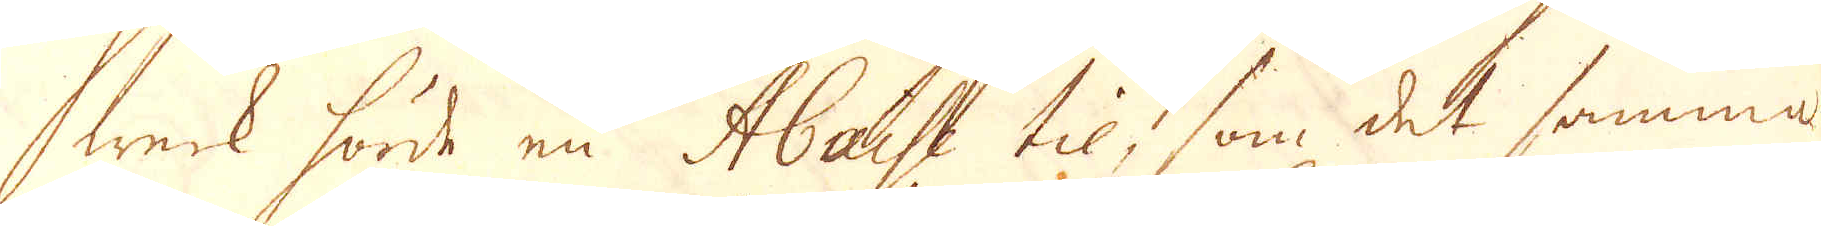werk hörde en Abaise til, som det samma
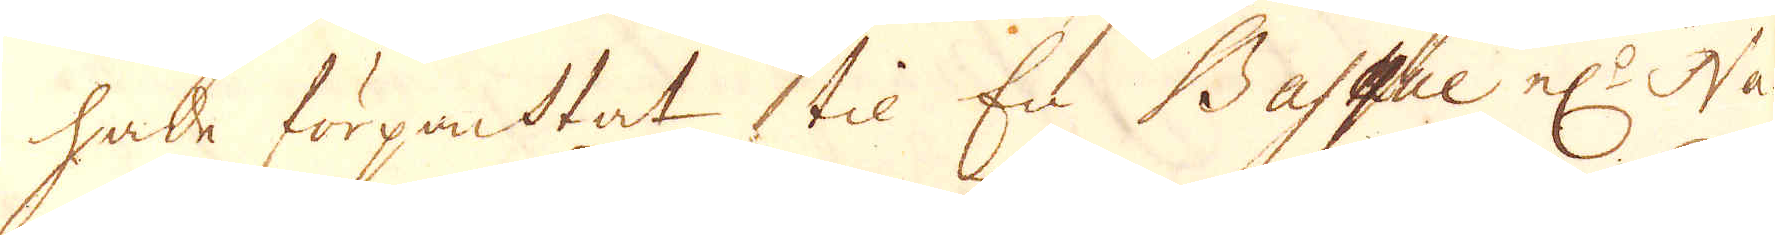hade förpanhtat til En Basque el:r Na-
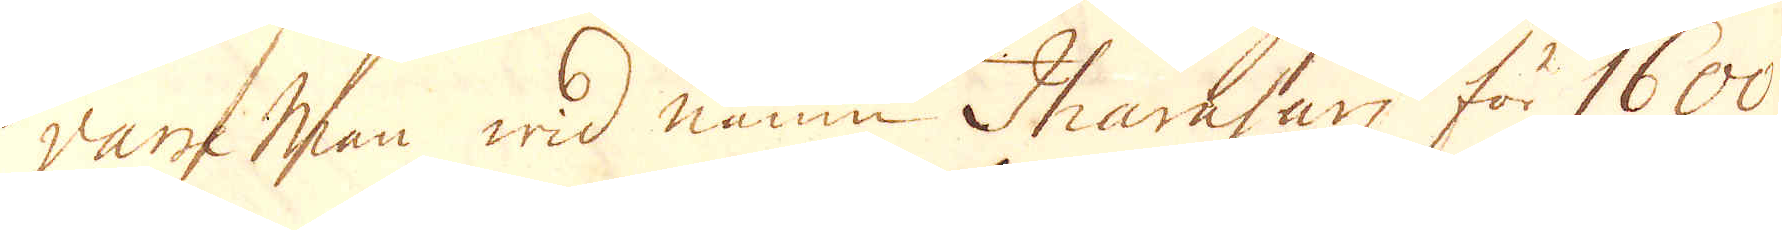varre Man wid namn Iharasan för 1600
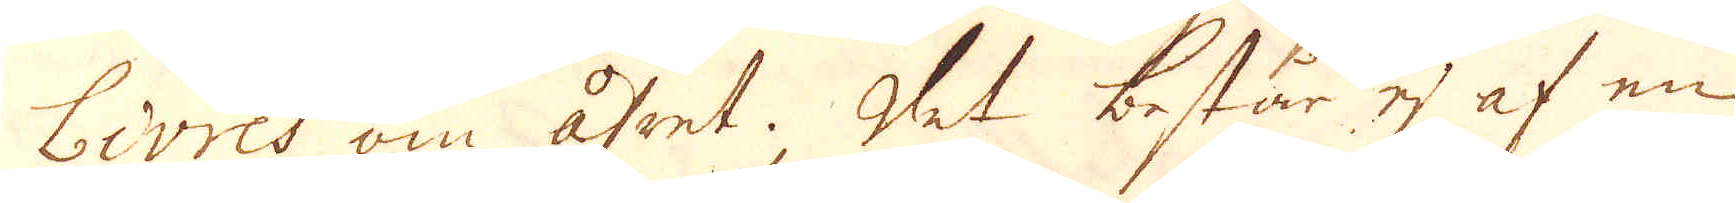Livres om året. Det består ej af en
